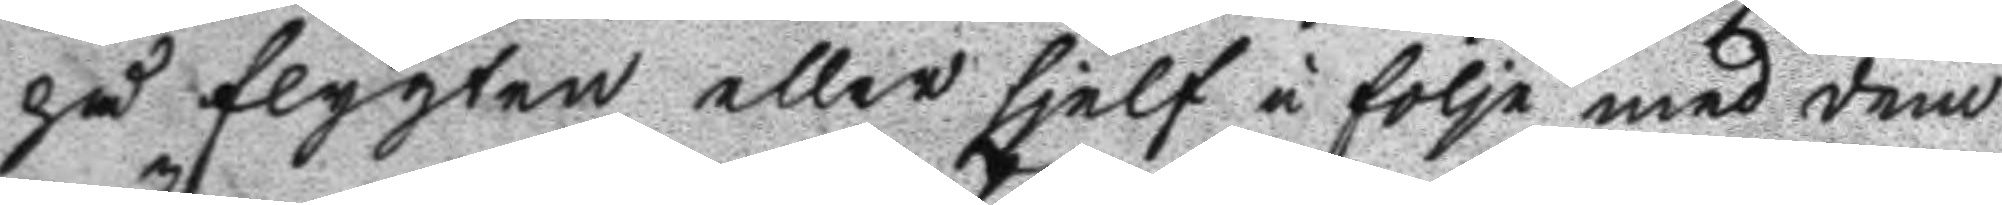på flygten eller sjelf i följe med dem
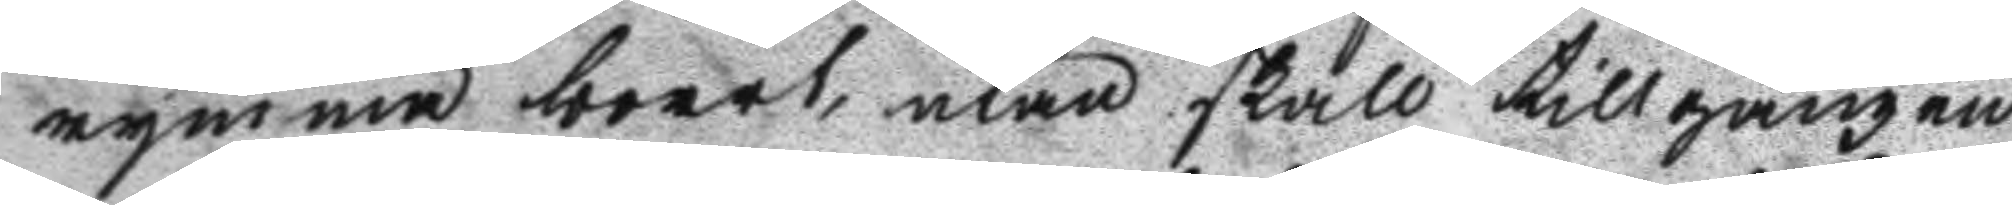rymma bort, utan skall tillgången
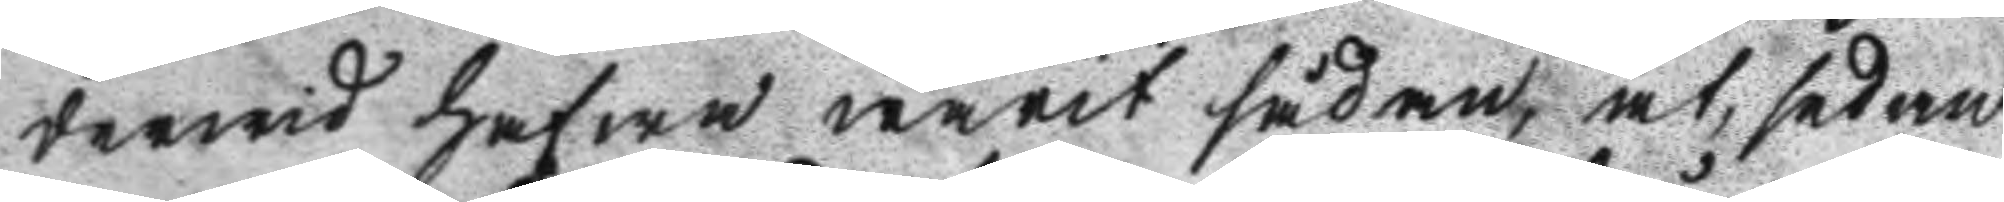derwid hafwa warit sådan, at, sedan
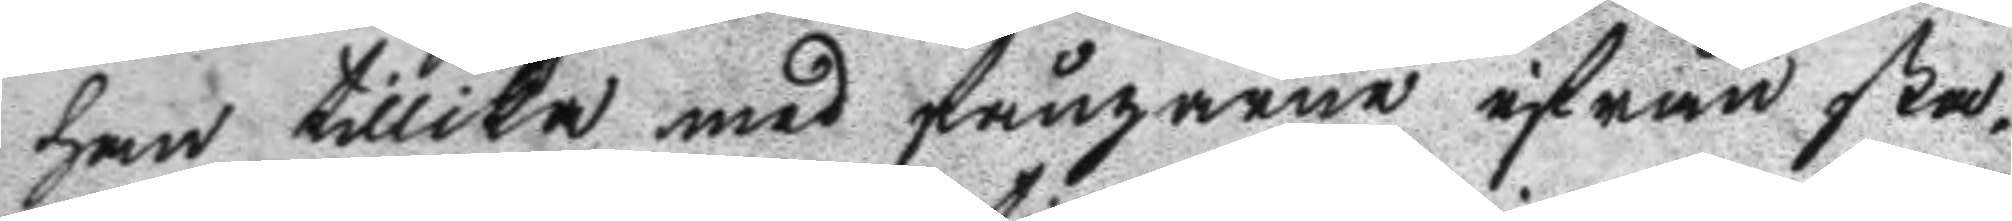han tillika med fångarne ifrån sta¬
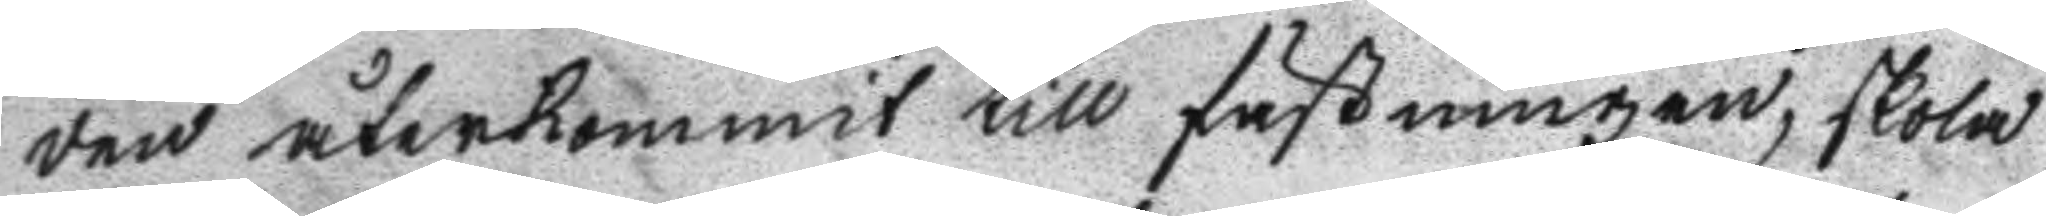den återkommit till fästningen, skola
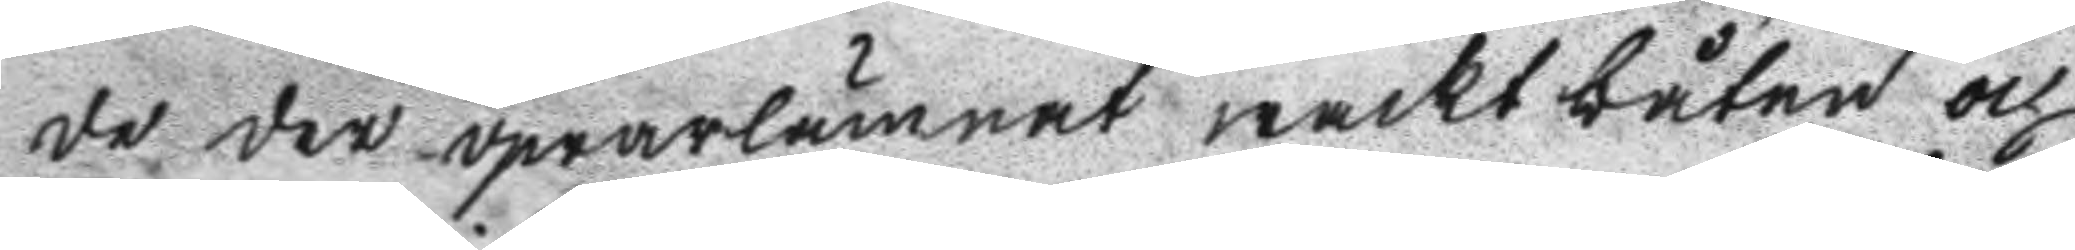de der qwarlämnat waktbåten och
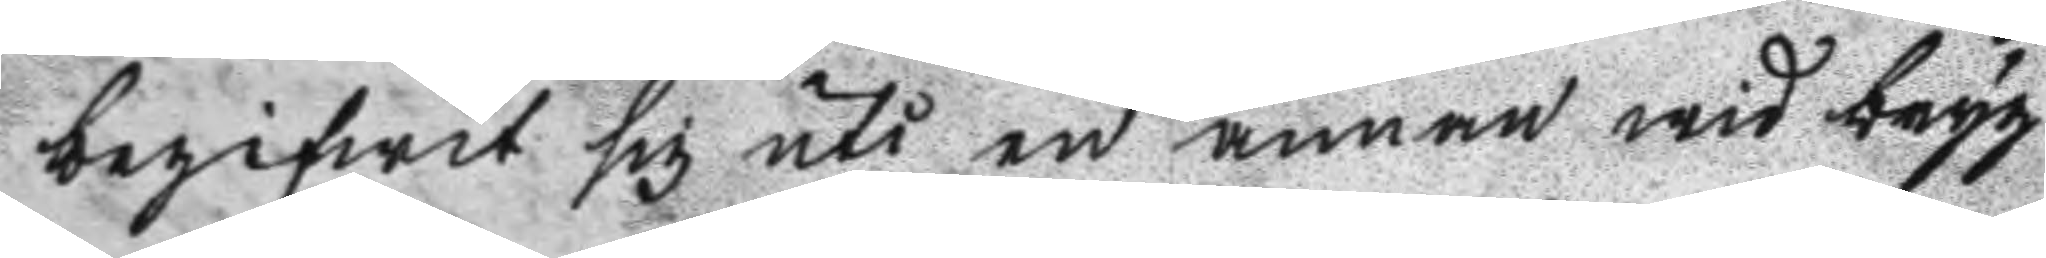begifwit sig uti en annan wid bryg
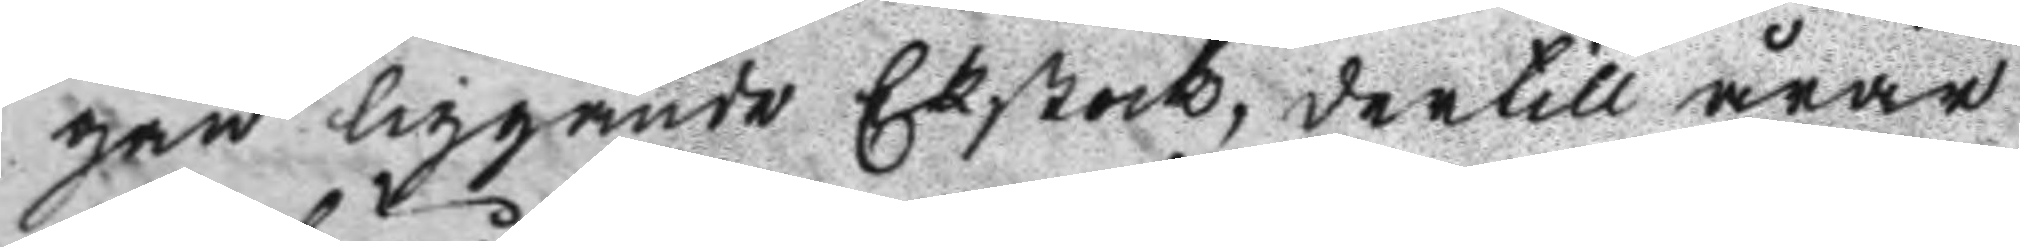gan liggande Ekstock, dertill årar
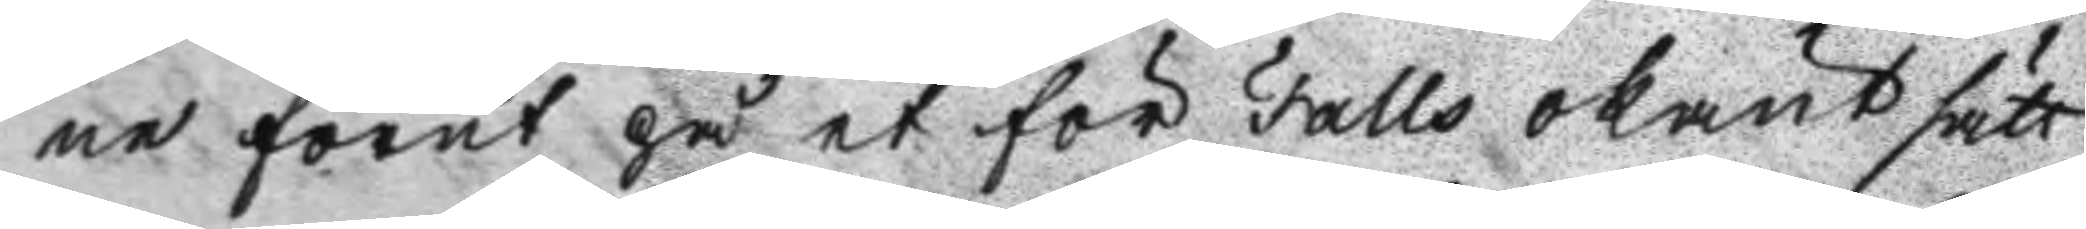ne förut på et för Falls okänt sätt
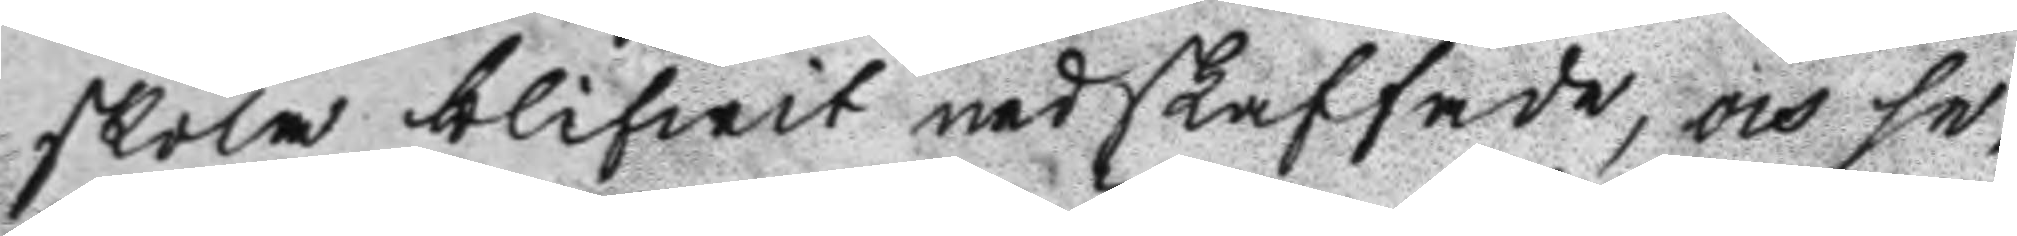skola blifwit nedskaffade, och se¬
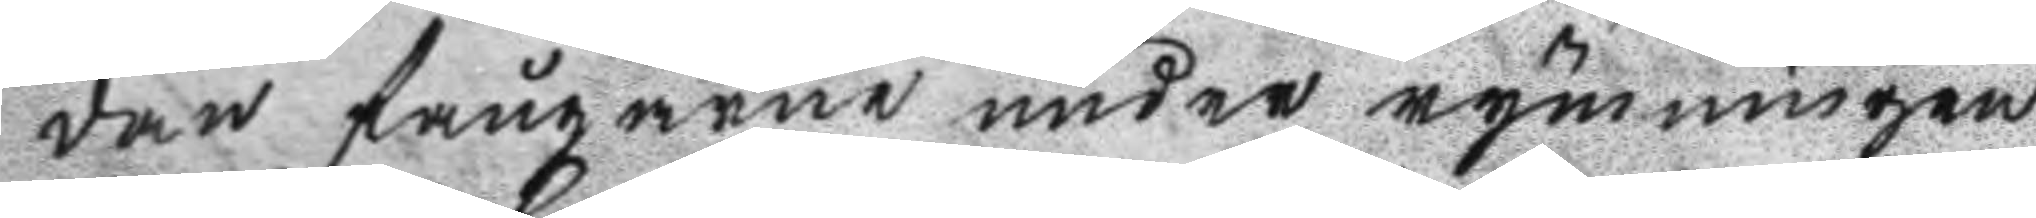dan fångarne under rymningen
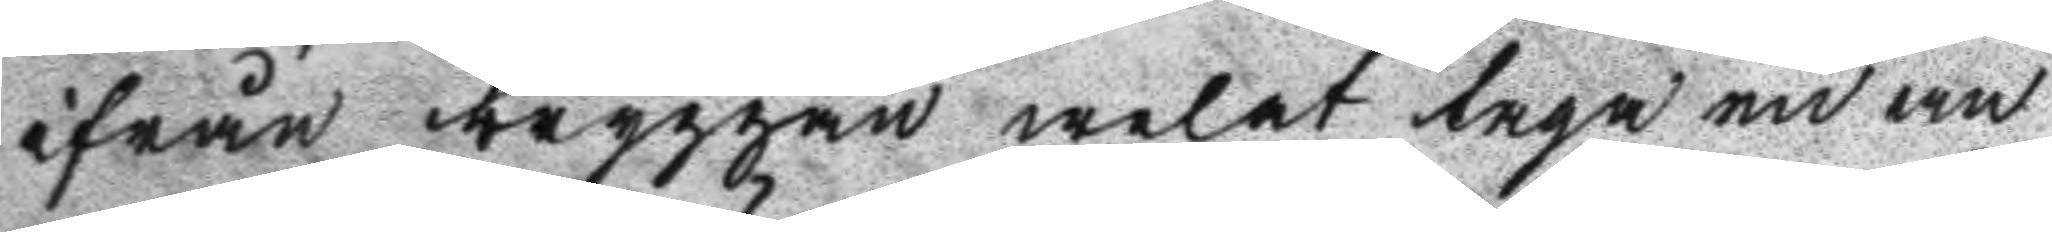ifrån bryggan welat taga en an
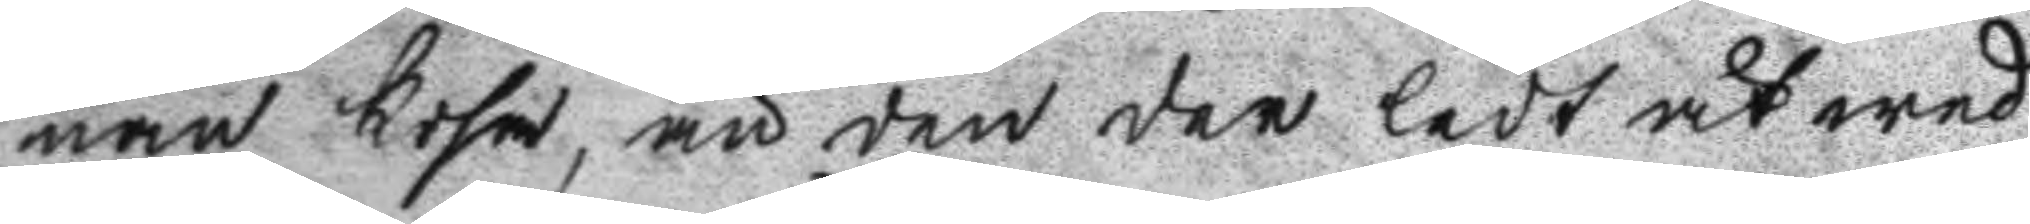nan kosa, än den der ledt åt wed
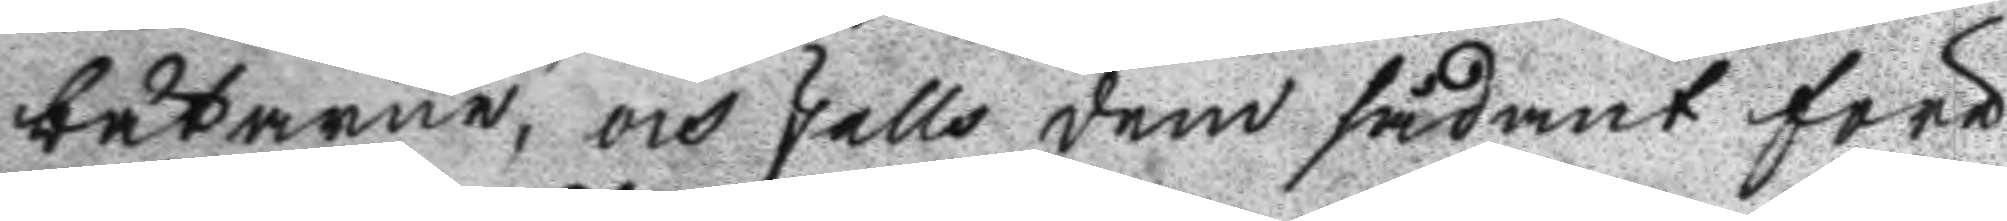båtarne, och Galls dem sådant före
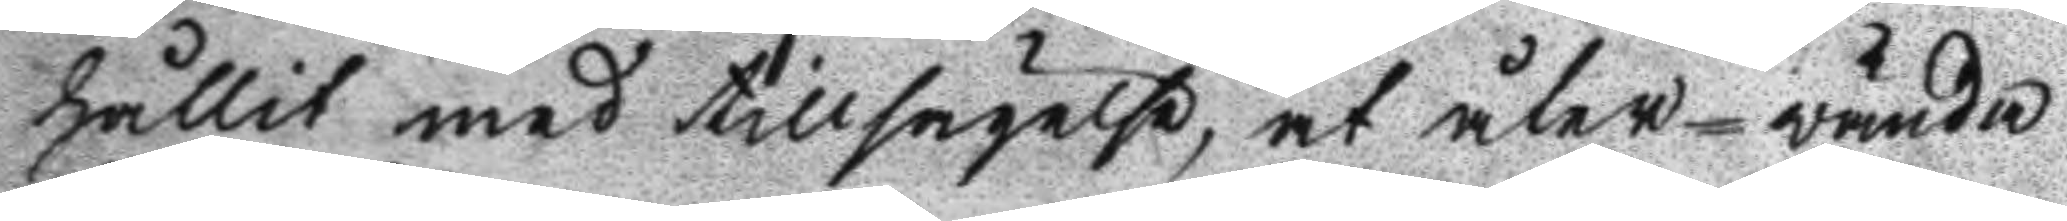hållit med tillsägelse, at åter-wända
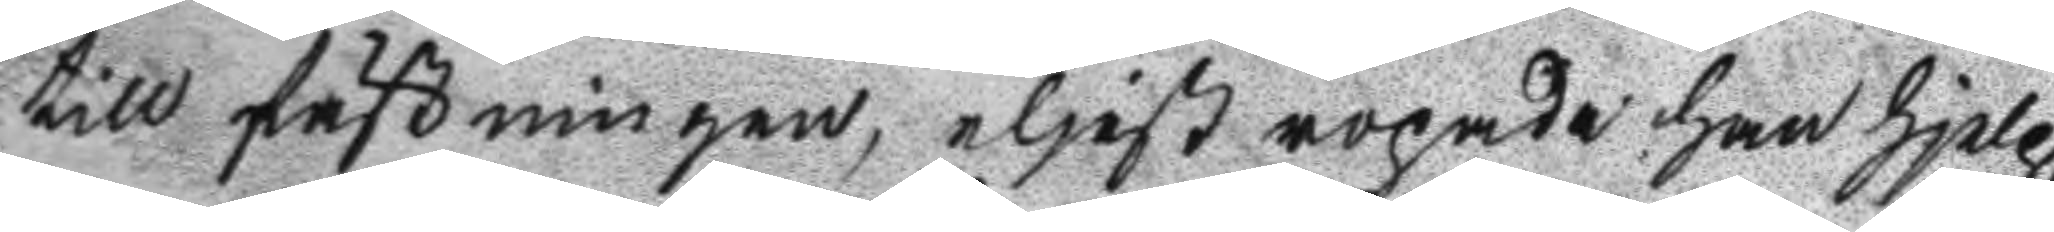till fästningen, eljest ropade han hjelp,
